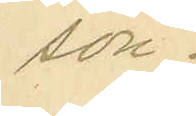son.
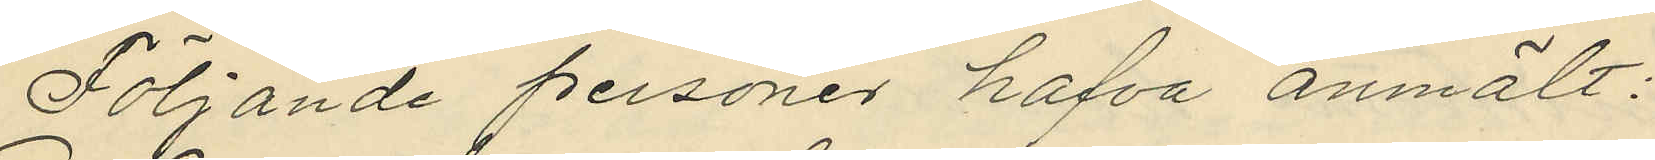Följande personer hafva anmält:
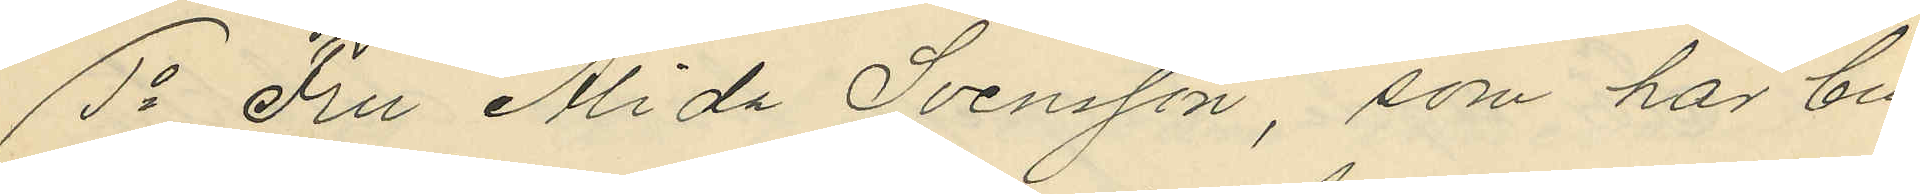1o Fru Alida Svensson, som har bu¬
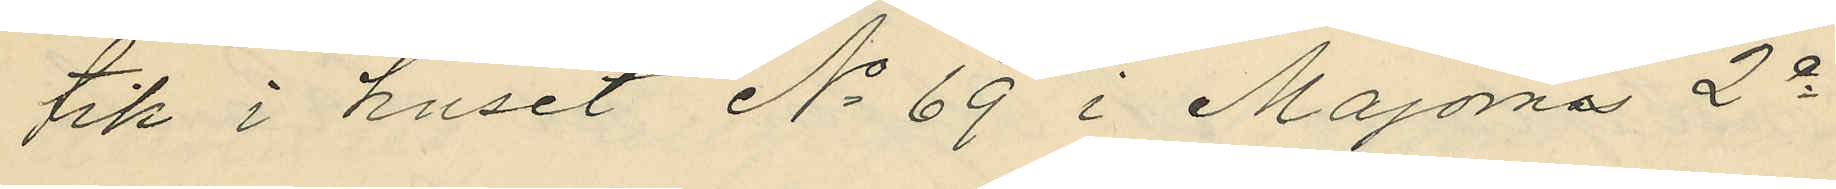tik i huset No 69 i Majorna 2e
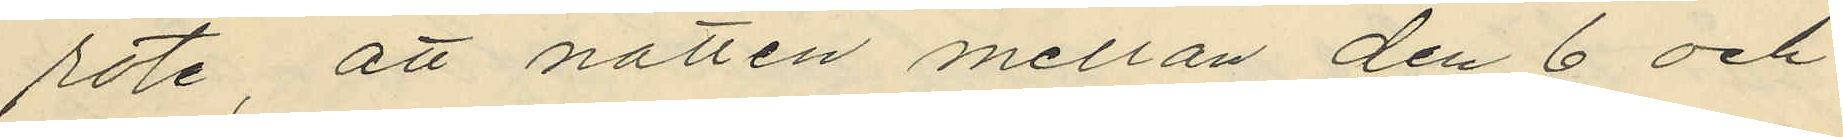rote, att natten mellan den 6 och
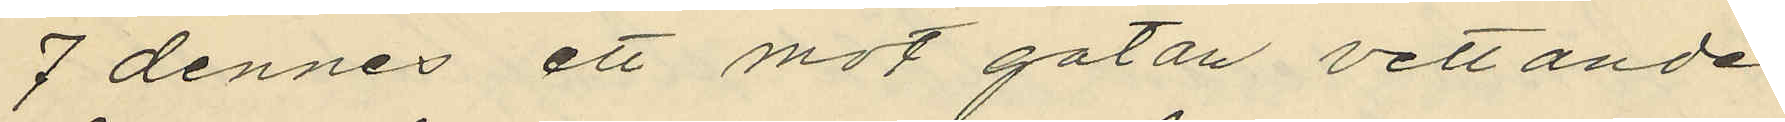7 dennes ett mot gatan vettande
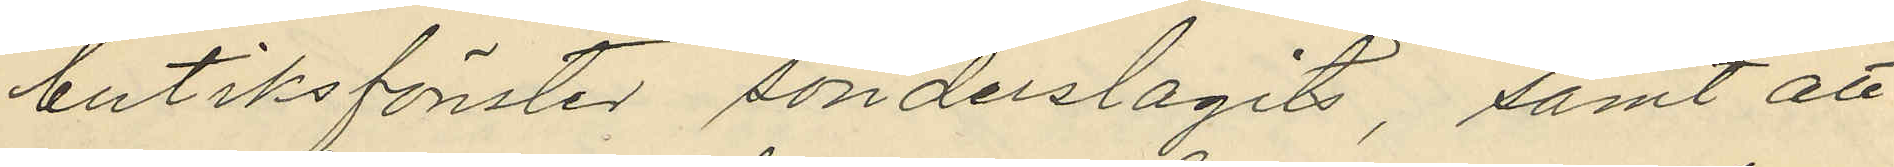butiksfönster sönderslagits, samt att
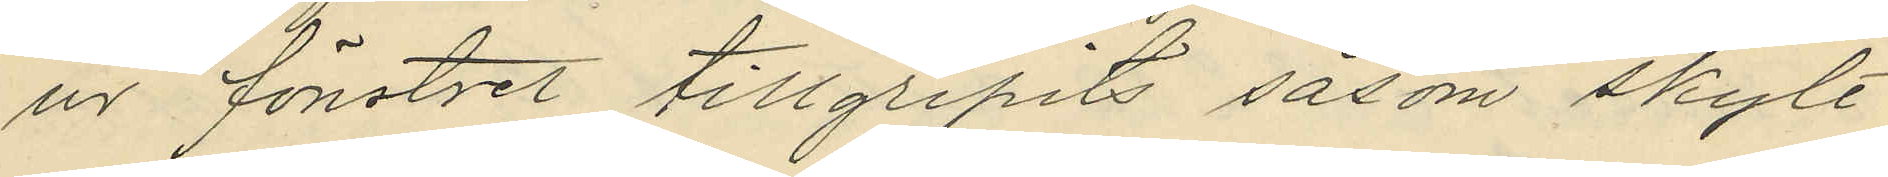ur fönstret tillgripits såsom skylt
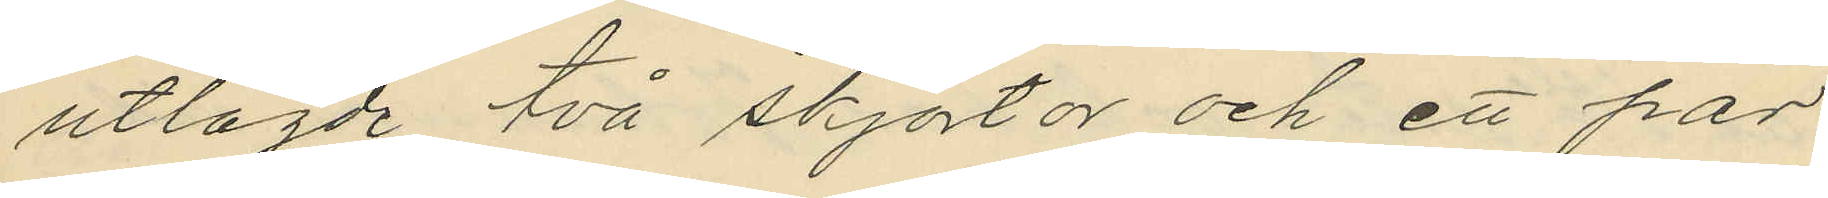utlagde två skjortor och ett par
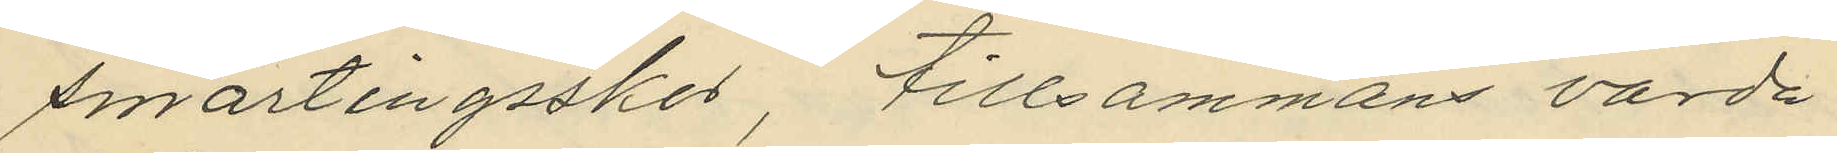smärtingsskor, tillsammans värda
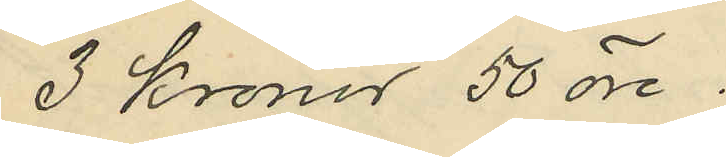3 kronor 50 öre;
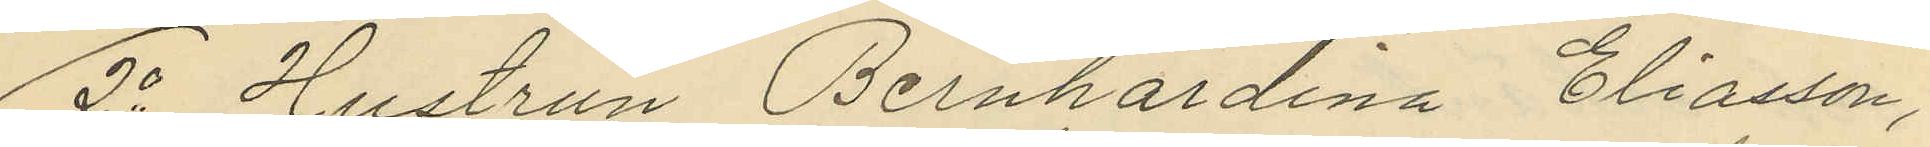2o Hustrun Bernhardina Eliasson,
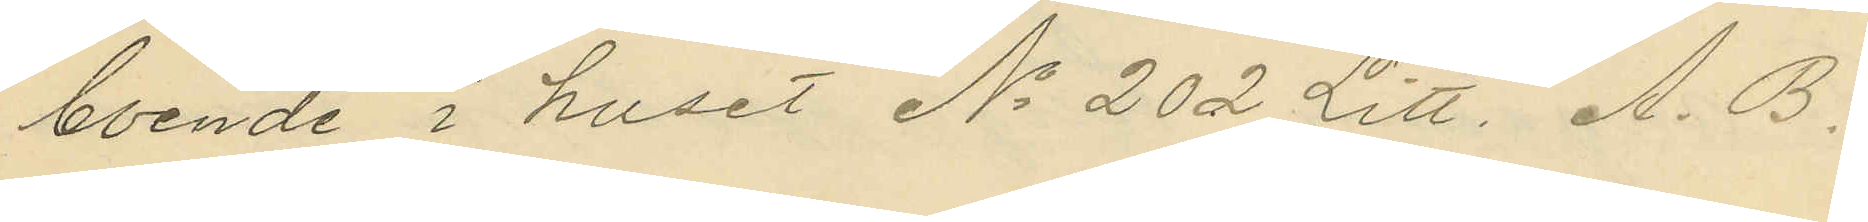boende i huset No 202 Litt. A. B.
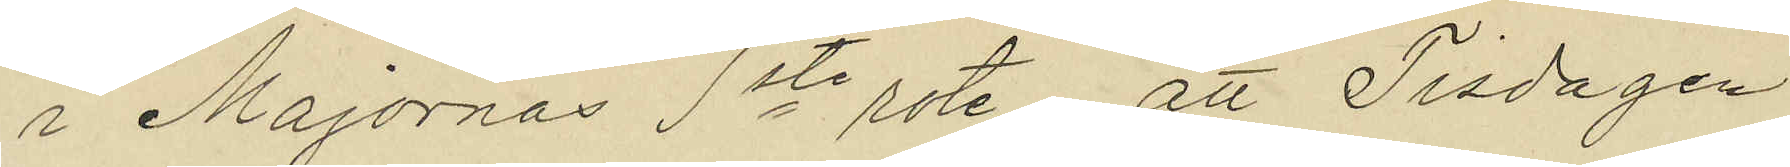i Majornas 1ste rote, att Tisdagen
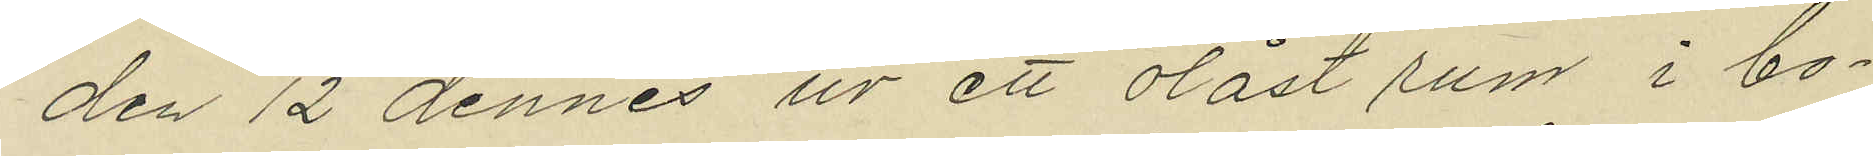den 12 dennes ur ett olåst rum i bo¬
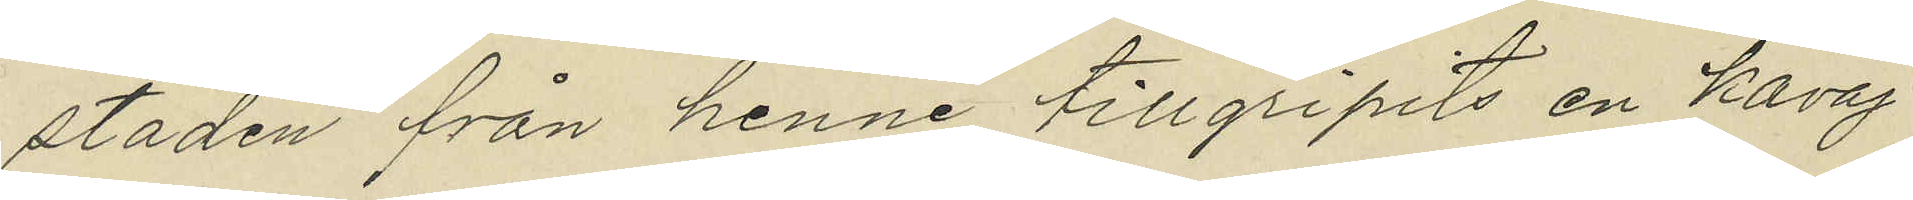staden från henne tillgripits en kavaj
